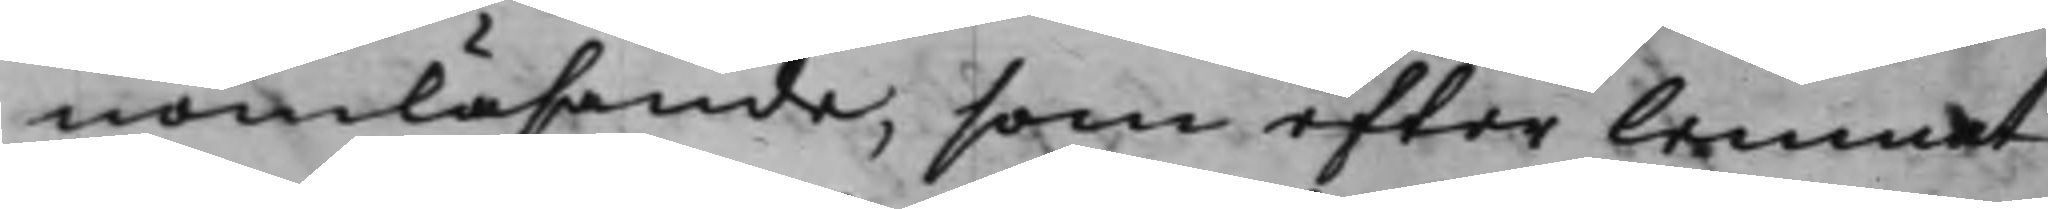nomläsande, som efter lemnat
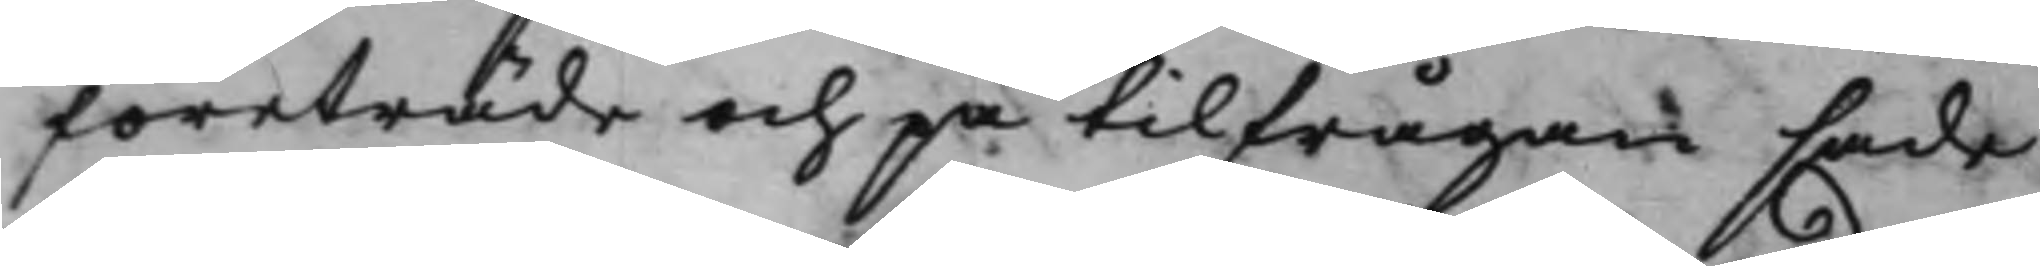företräde och på tilfrågan sade
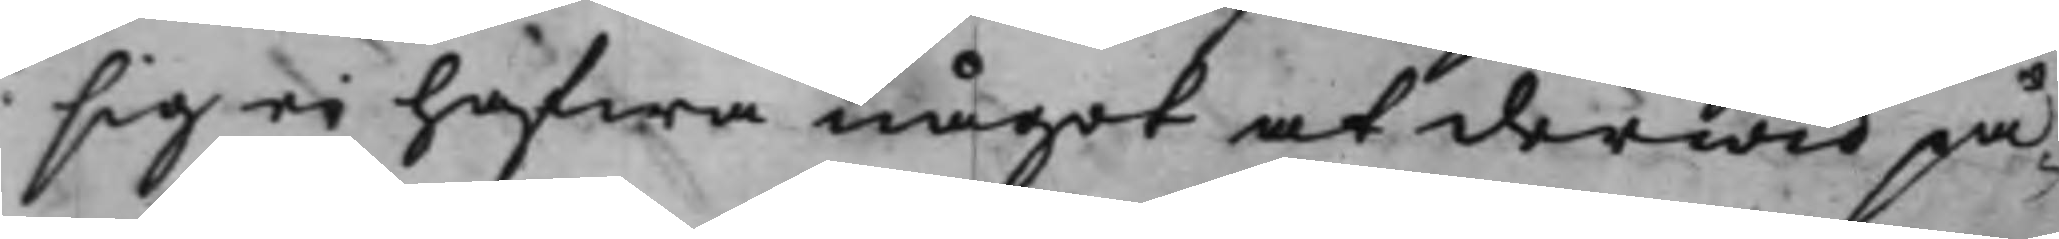sig ei hafwa något at derwid på¬
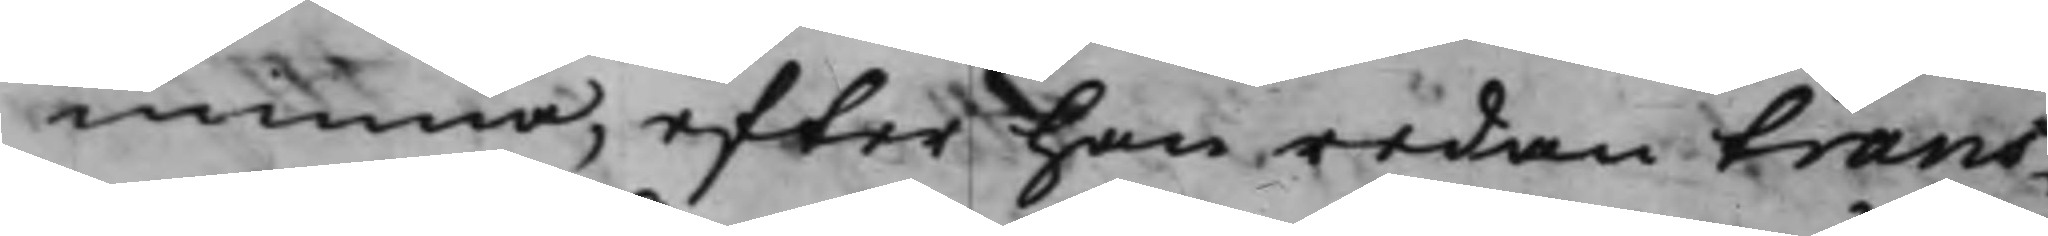minna, efter han redan trans¬
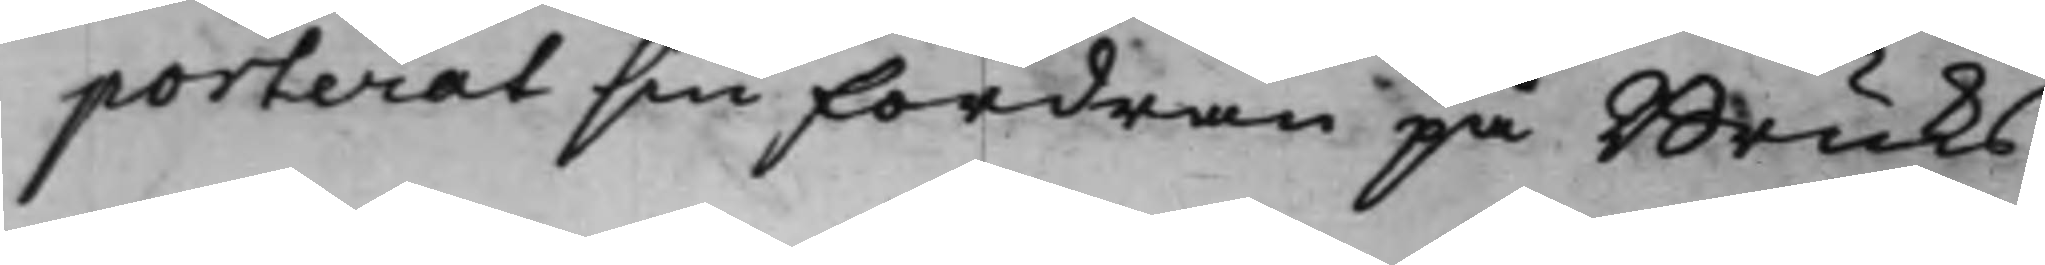porterat sin Fordran på Bruks¬
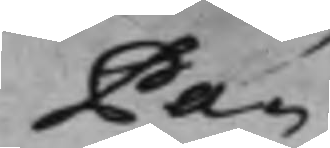Pa¬
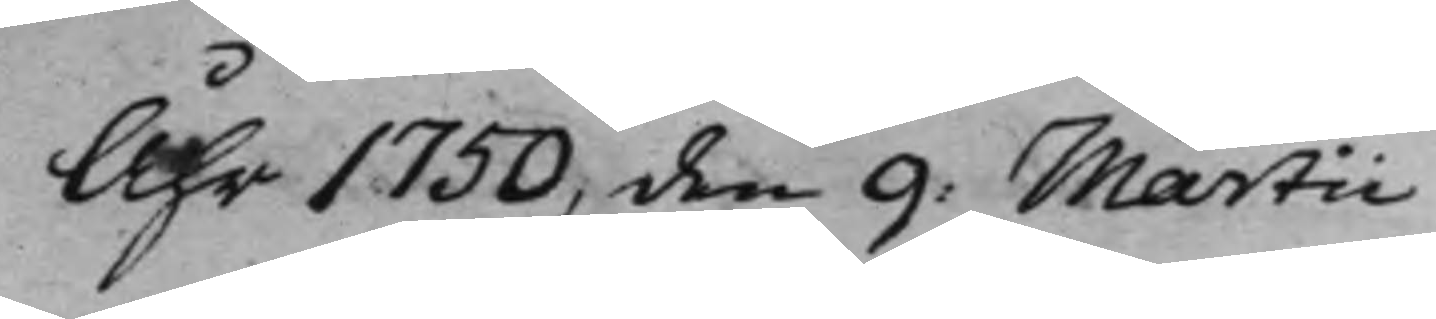Åhr 1750 den 9: Martii
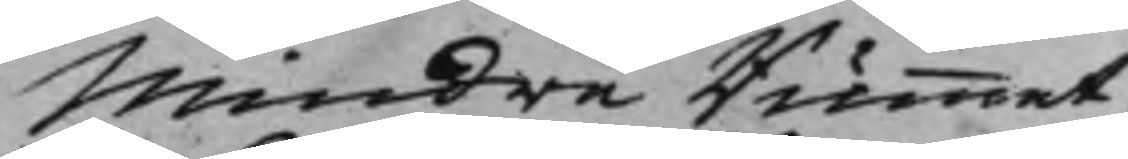Mindre Rummet.
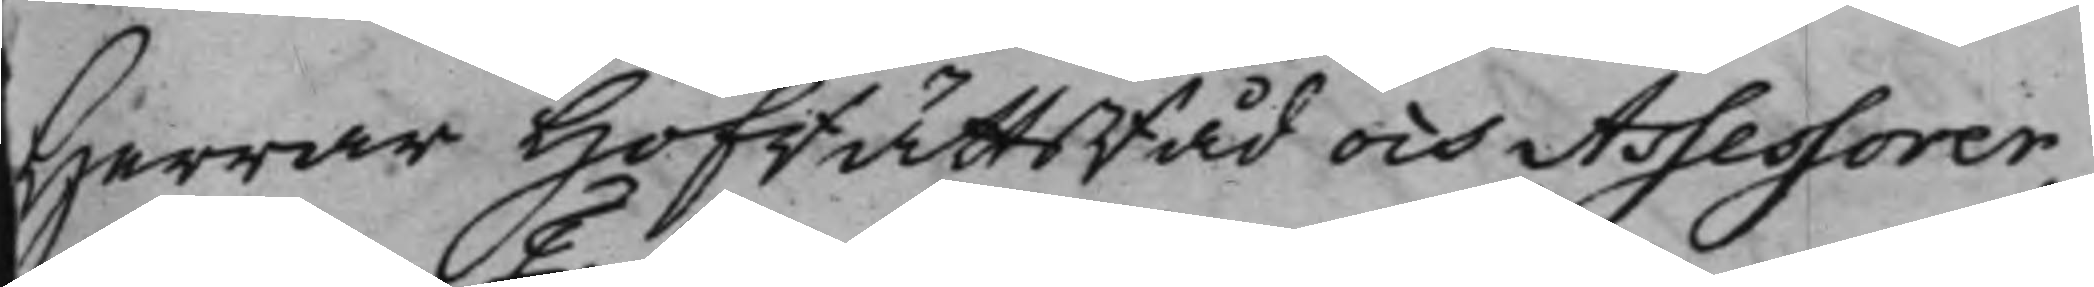Herrar HofrättsRåd och Assessorer,
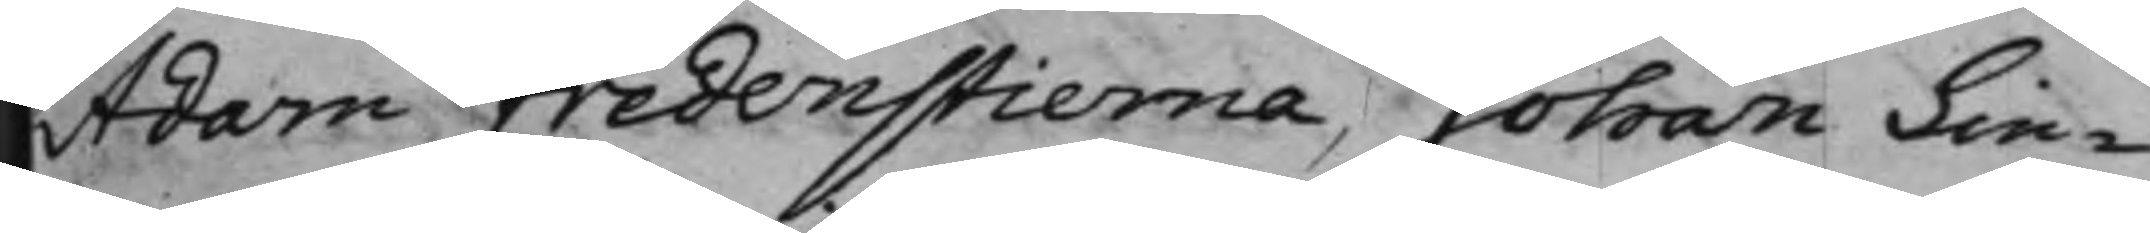Adam Fredenstierna, Johan Lin¬
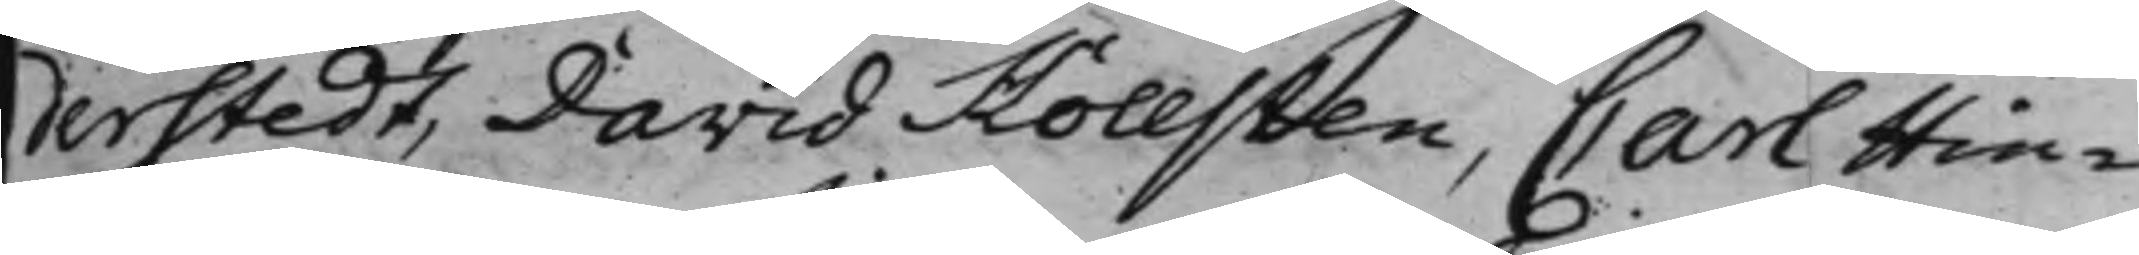derstedt, David Hollsten, Carl Hin¬
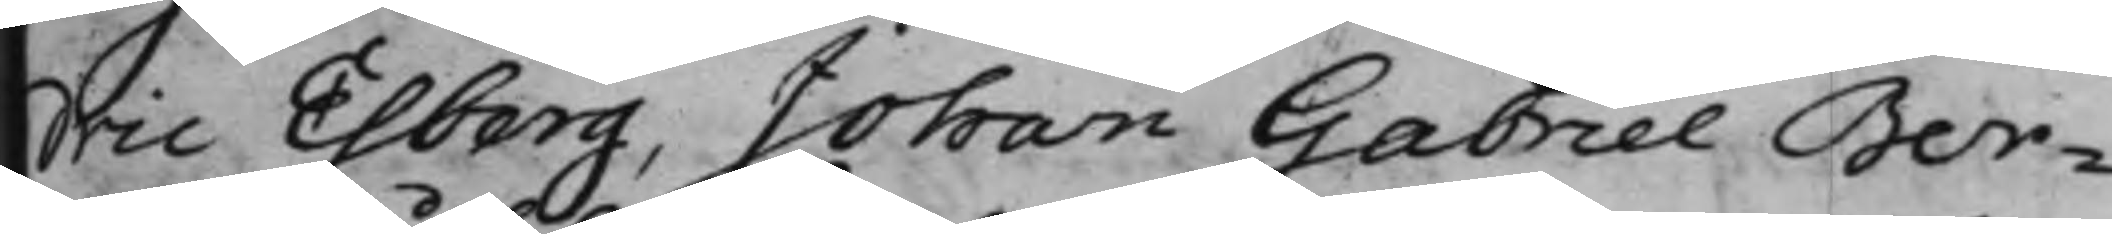dric Esberg, Johan Gabriel Ber¬
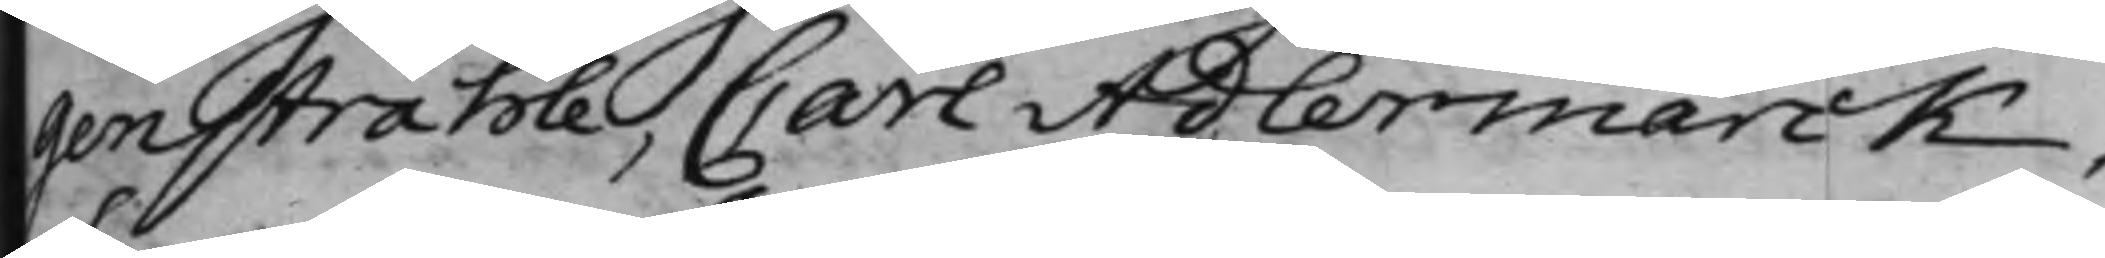genstråhle, Carl Adlermarck,
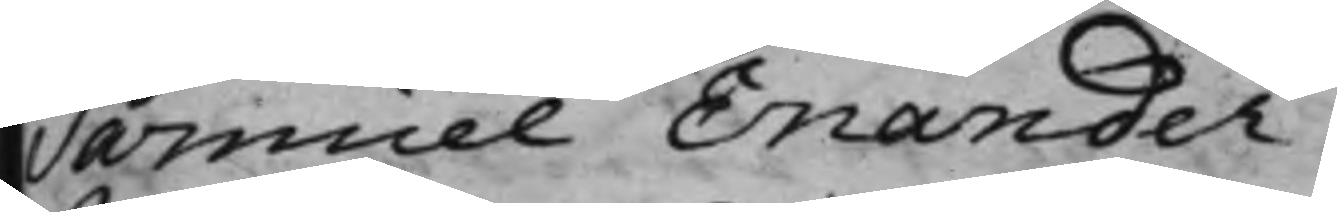Samuel Enander
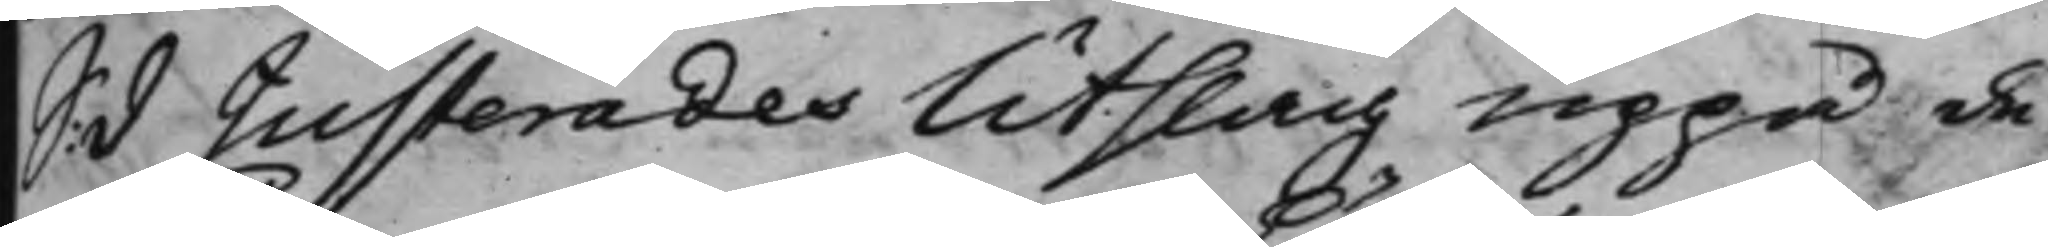S: d Justerades Utslag uppå de
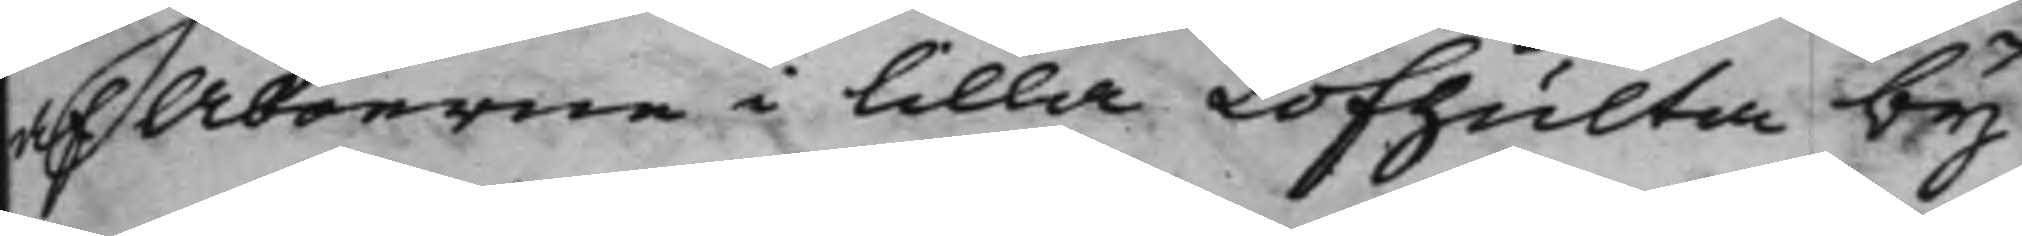af Åboerne i Lilla Löfhulta by
